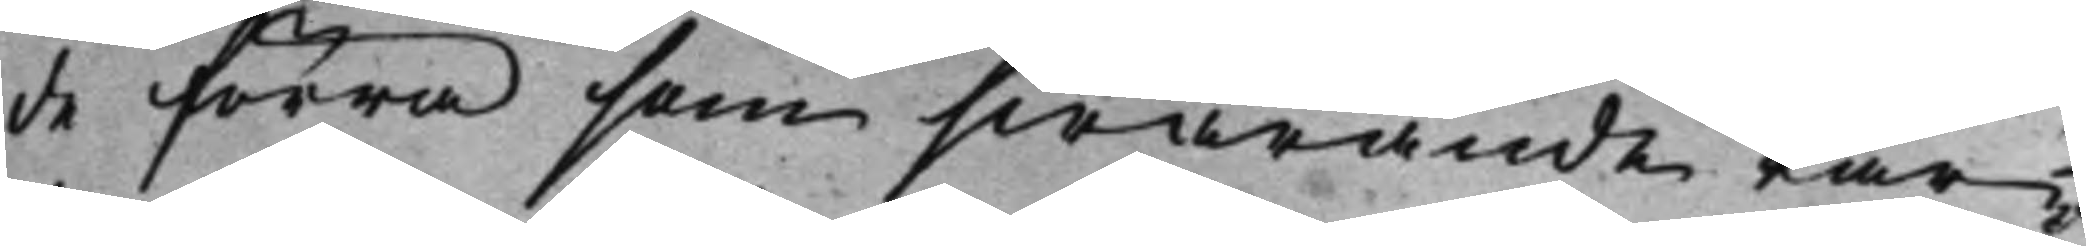de förra som swarande Par¬
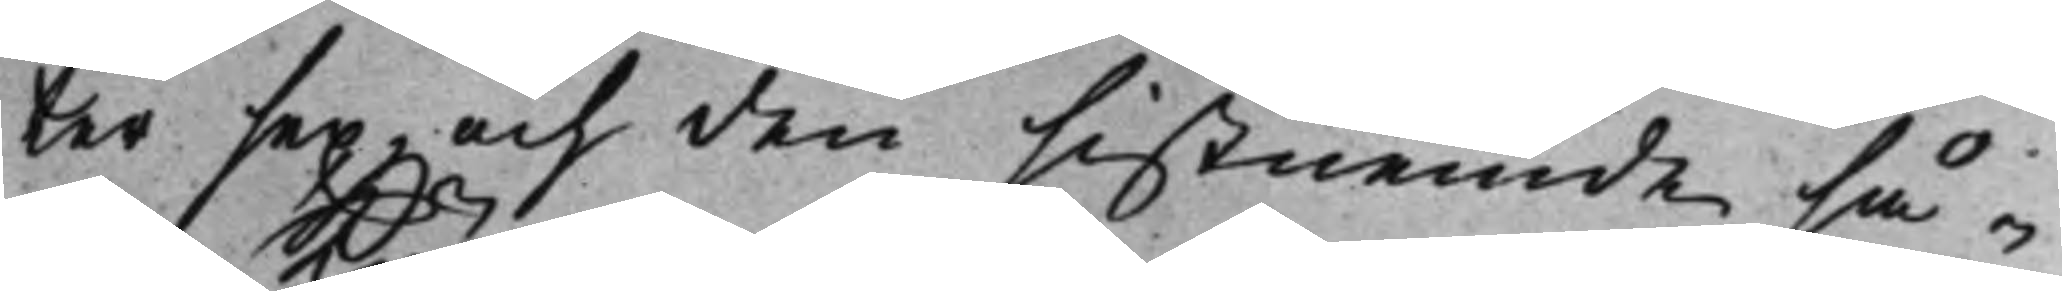ter sex, och den sistnemde så¬
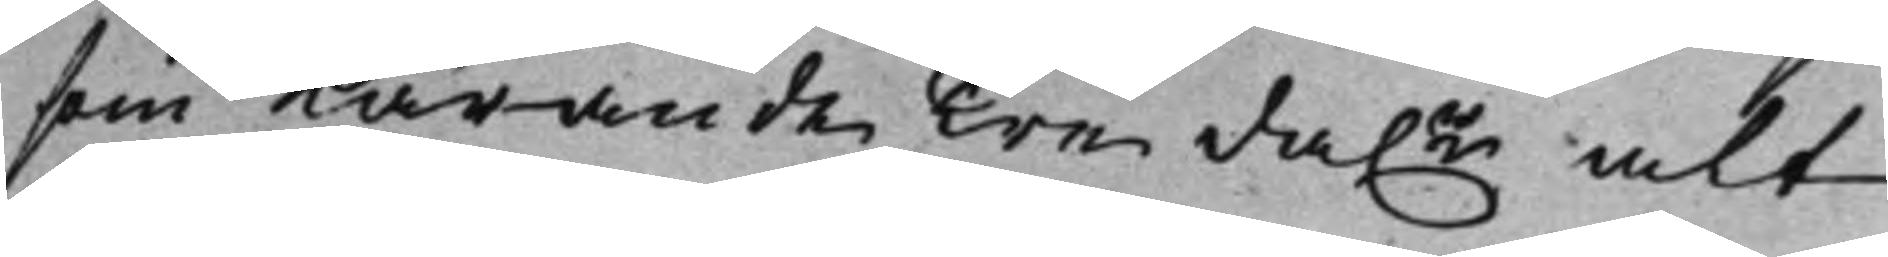som Kärande Tre da.r alt 
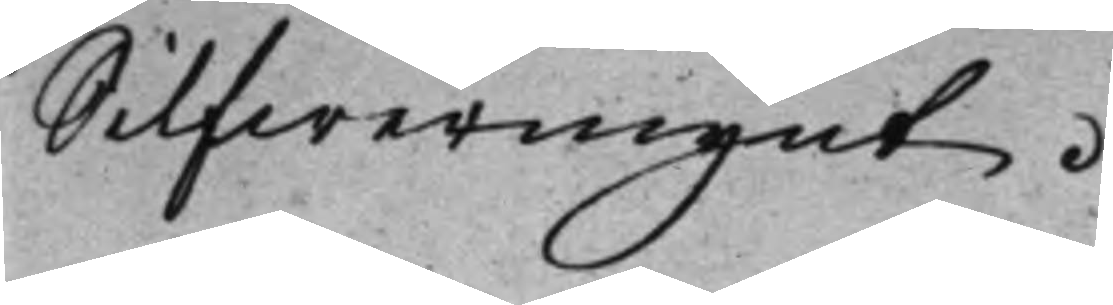Silfwermynt.
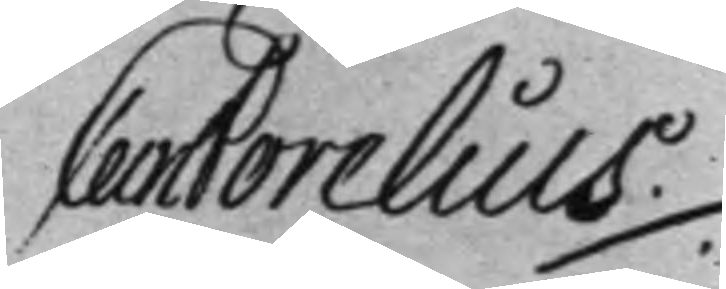Carl Forelius ./.
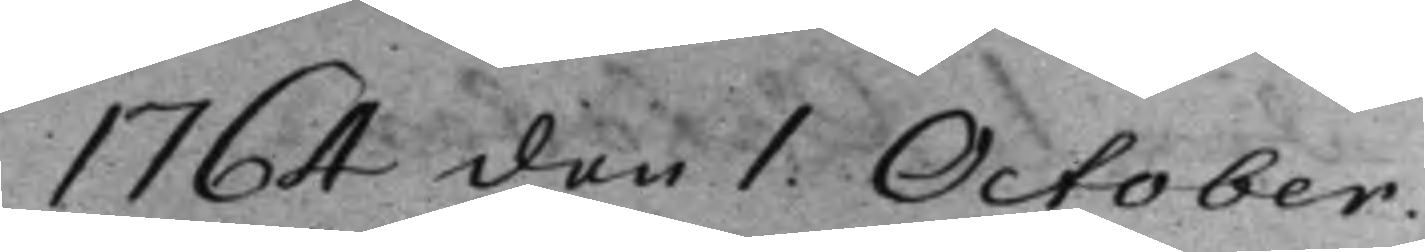1764 den 1. October.
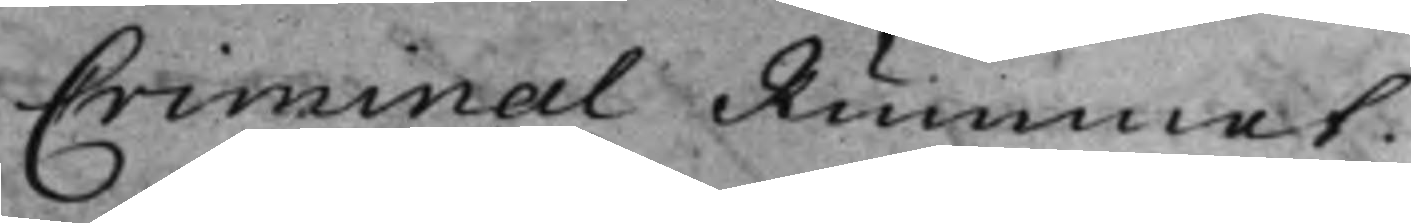Criminal Rummet.
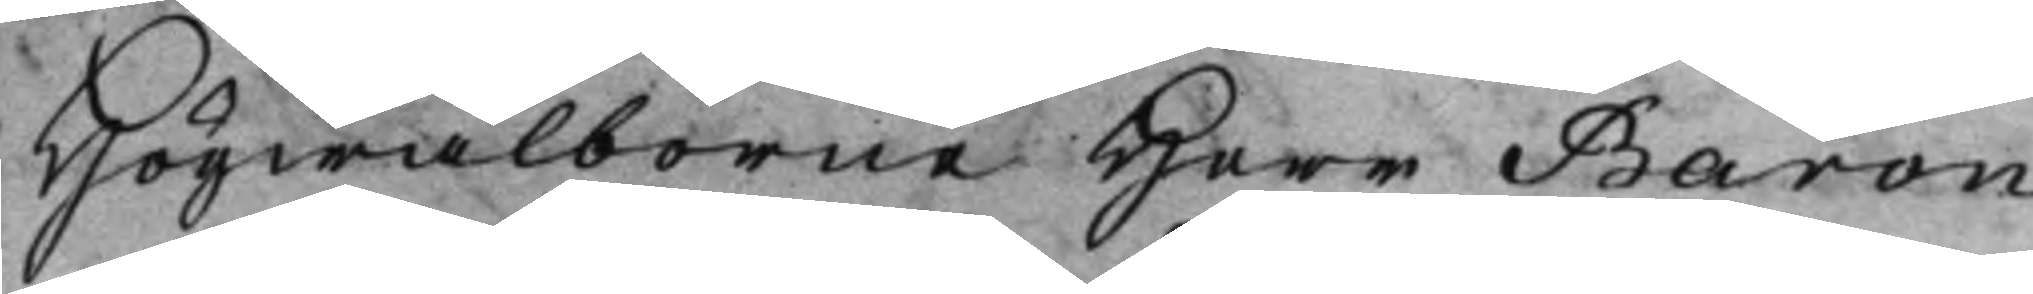Högwälborne Herr Baron
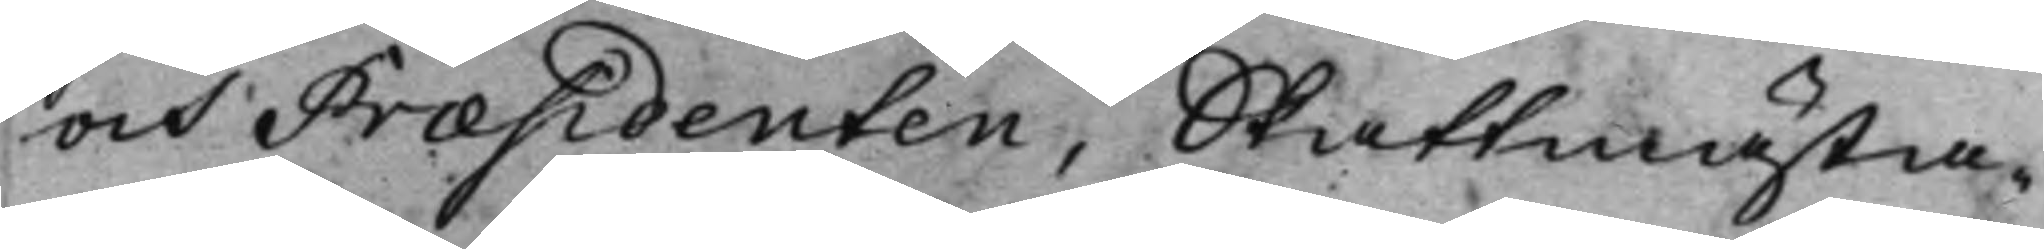och Præsidenten, Skattmästa¬
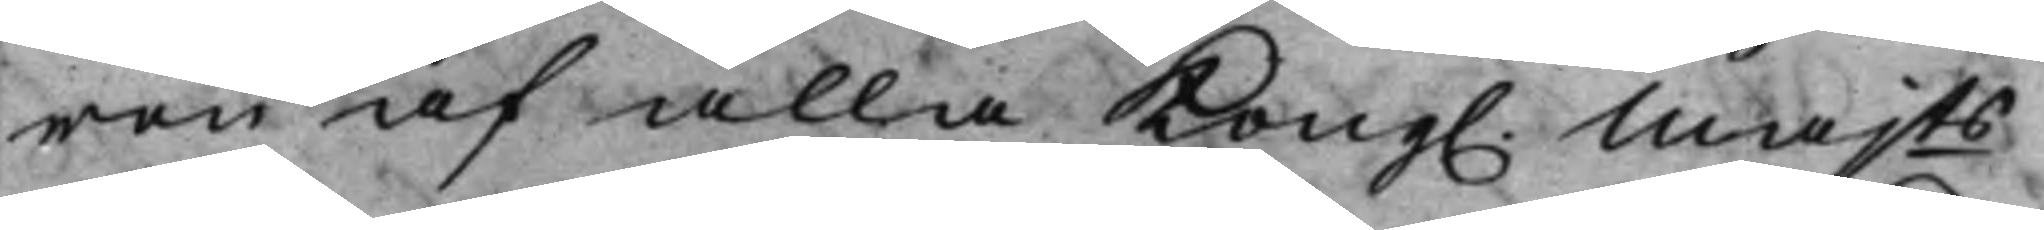ren af alla Kong. Majts 
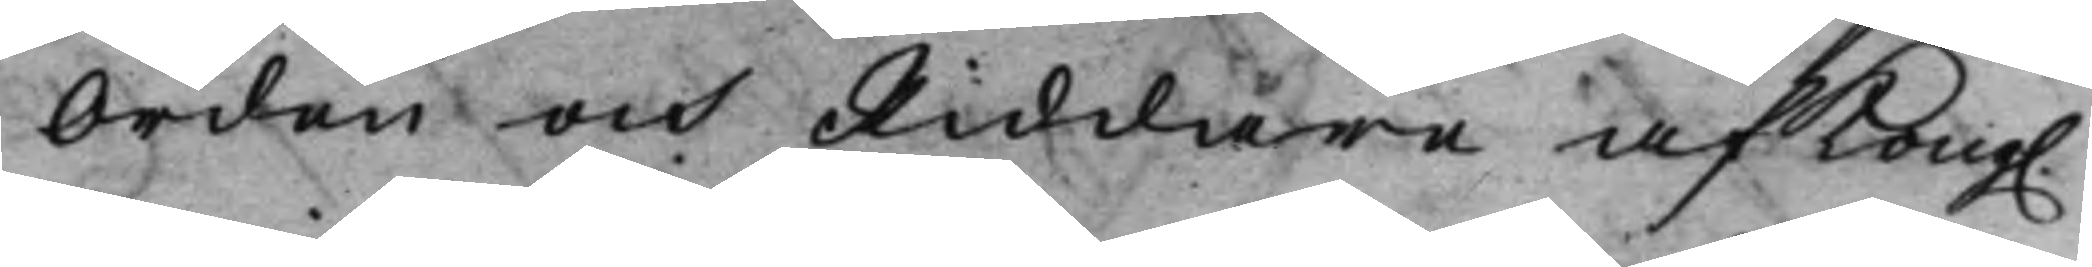Orden och Riddare af Kong. 
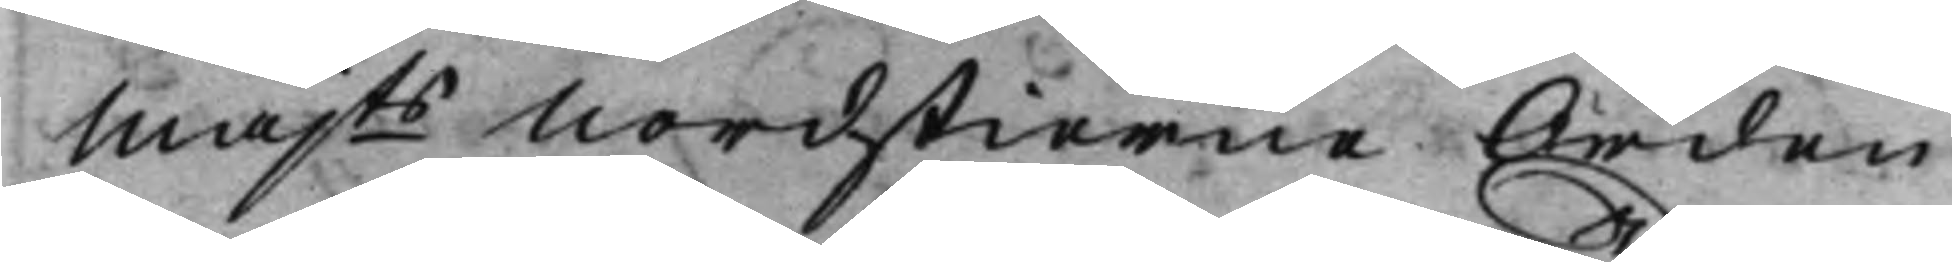Majts Nordstierne Orden 
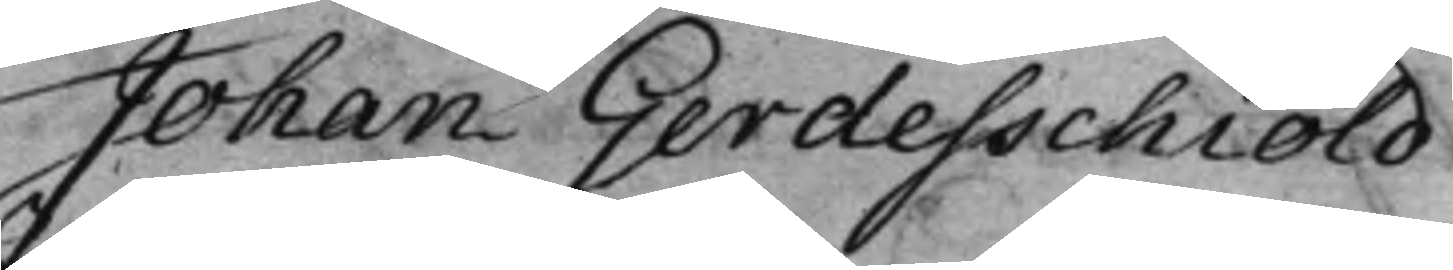Johan Gerdesschiöld.
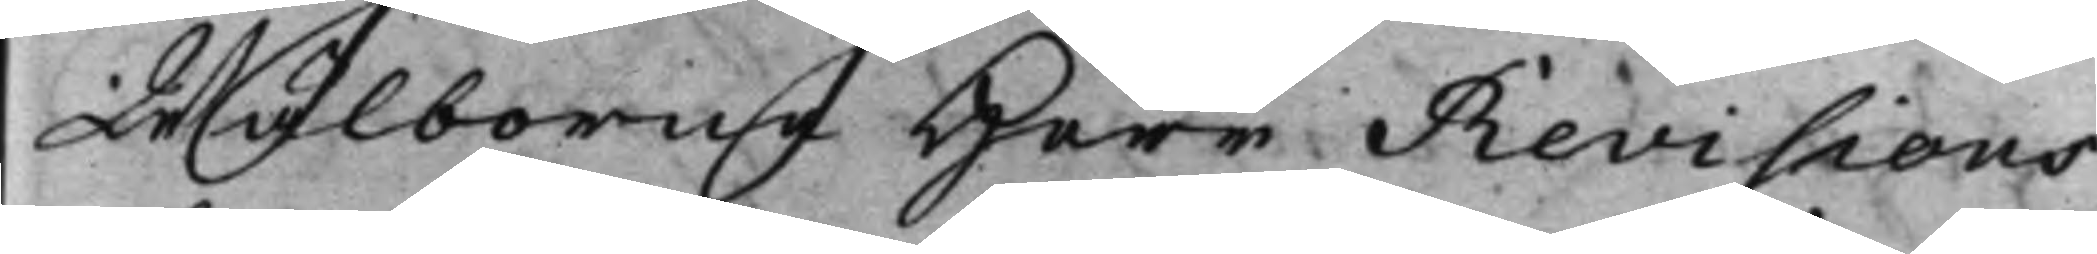Wälborne Herr Revisions¬
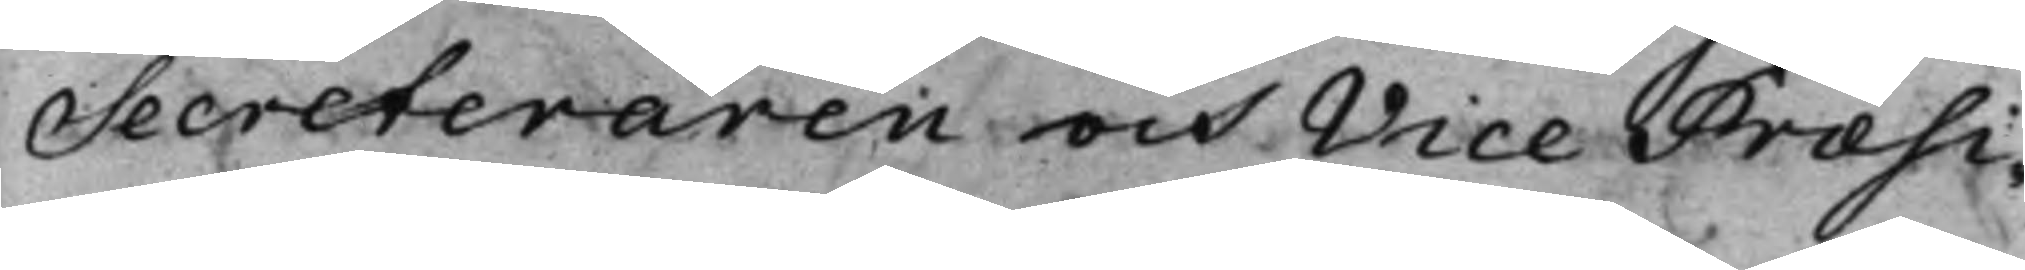Secreteraren och Vice Præsi¬
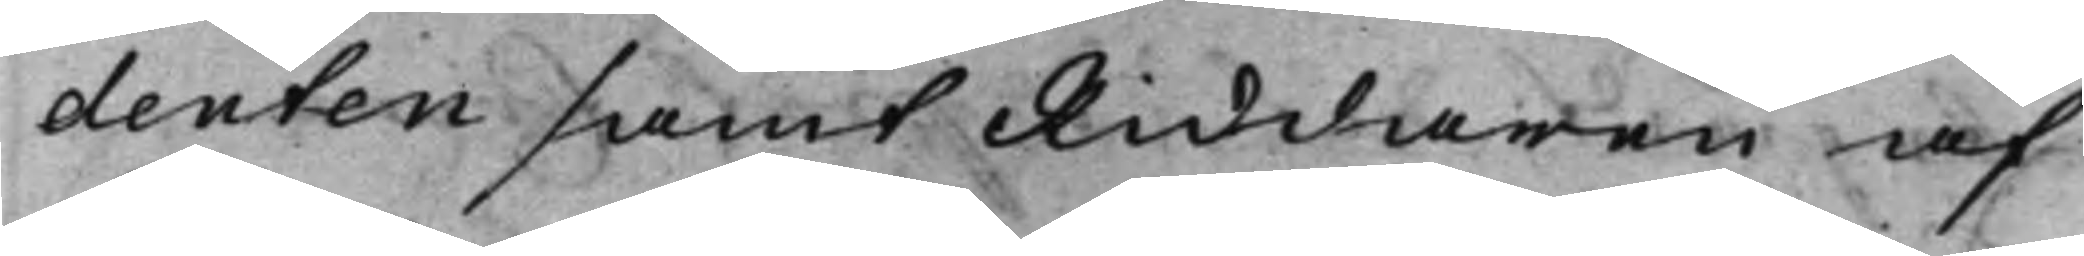denten samt Riddaren af
